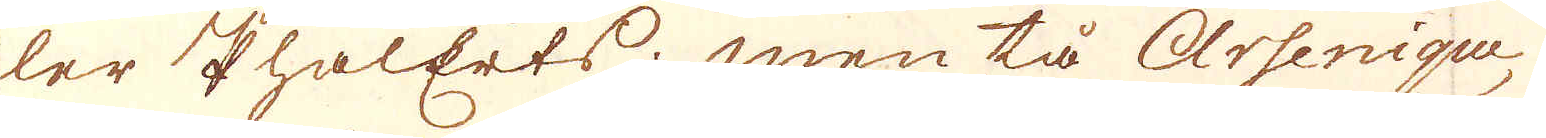ler PhalErts; men tå Arsenique,
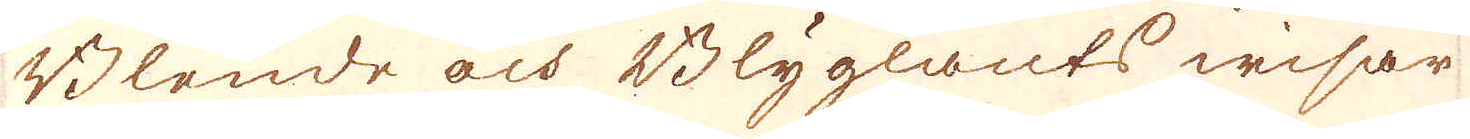Blende och Blyglants wisar
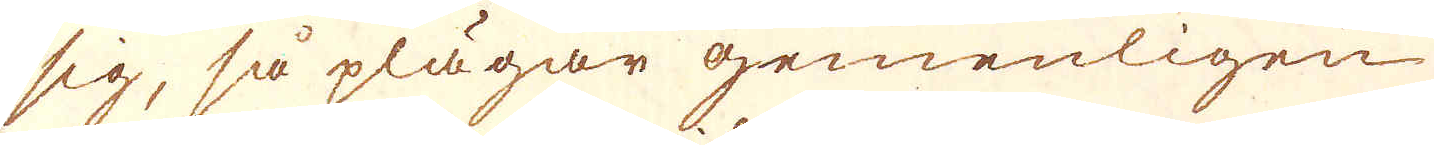sig, så plägar gemenligen
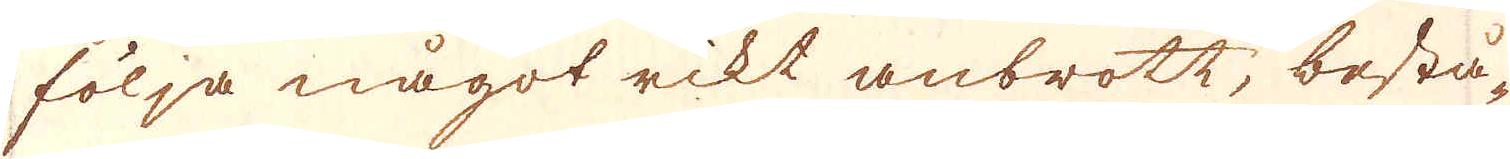följa något rikt anbrott, bestå-
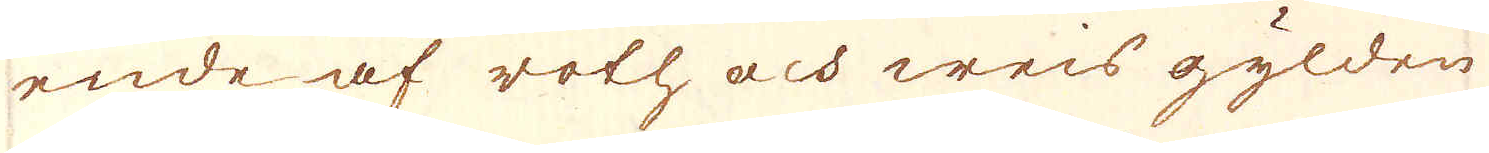ende af roth och weis gylden
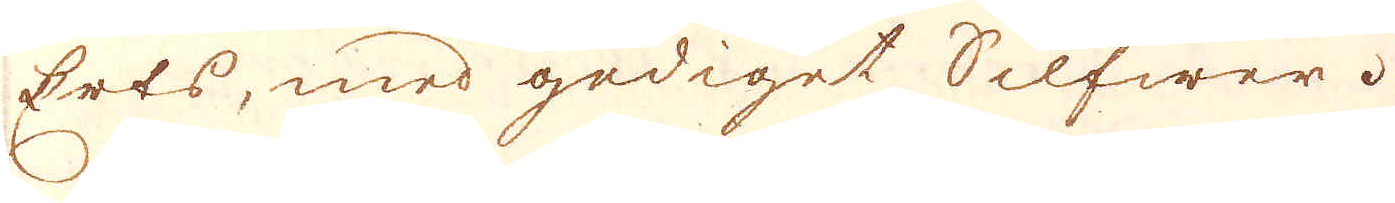Erts, med gediget Silfwer.
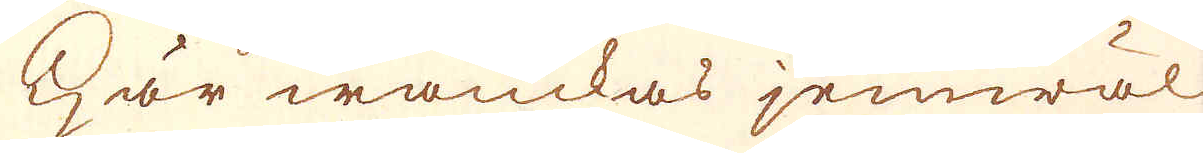Här wanckas jemwäl
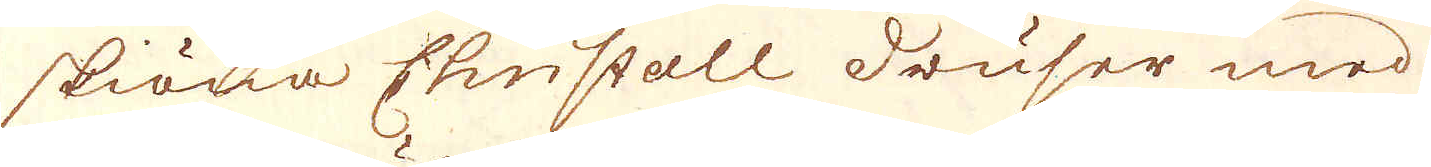skiöna Christall druser med
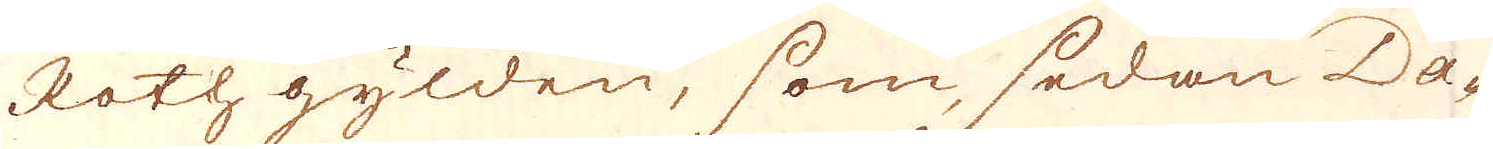Rothgylden, som, sedan Da-
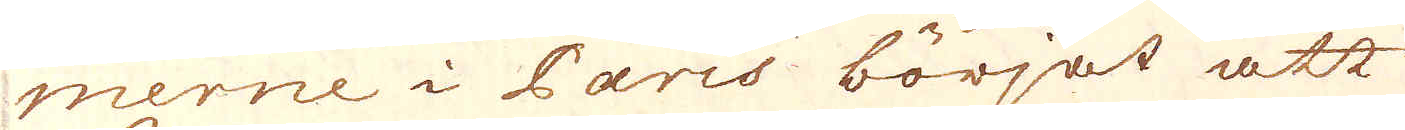merne i Paris börjat att
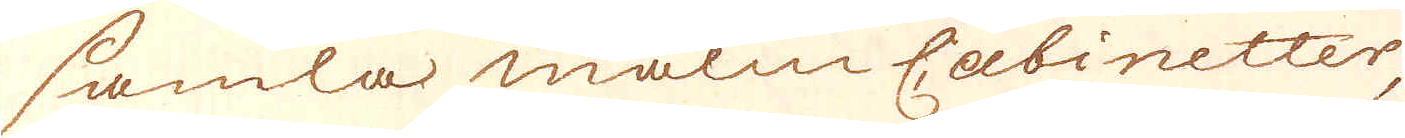samla malm Cabinetter
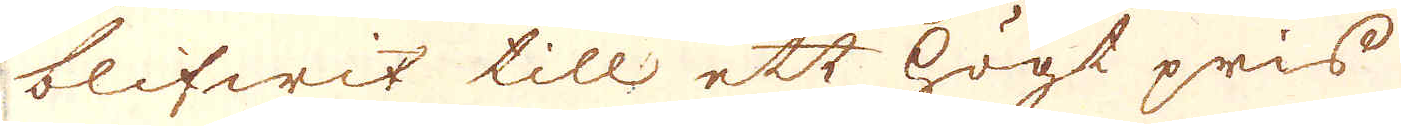blifwit till ett högt pris
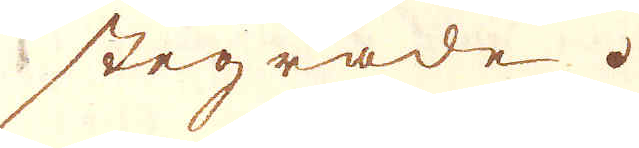stegrade.
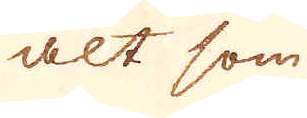alt som
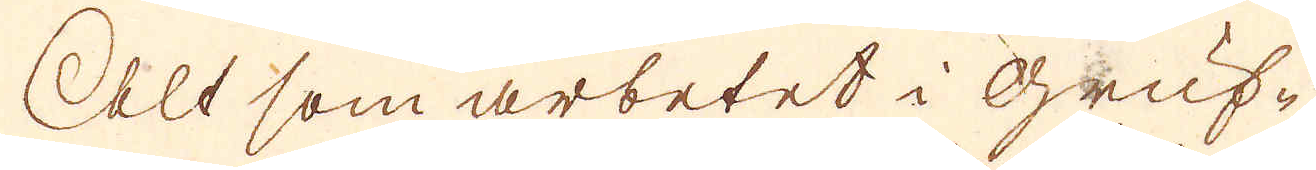Alt som arbetet i Gruf-
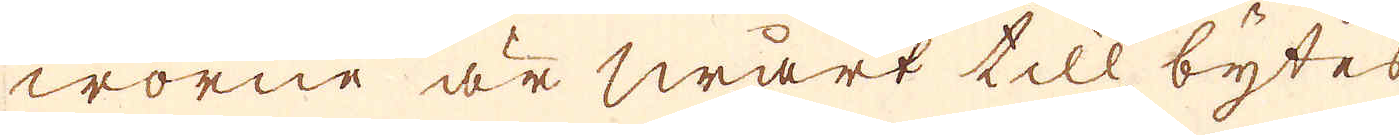worne är swårt till, bytes
